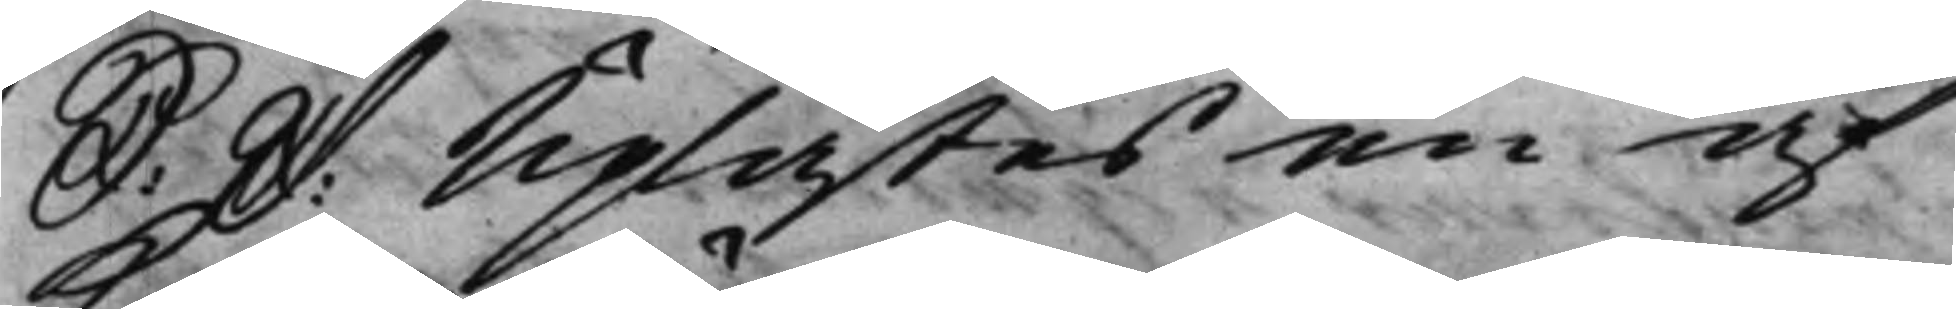S: D: Uplästes en af
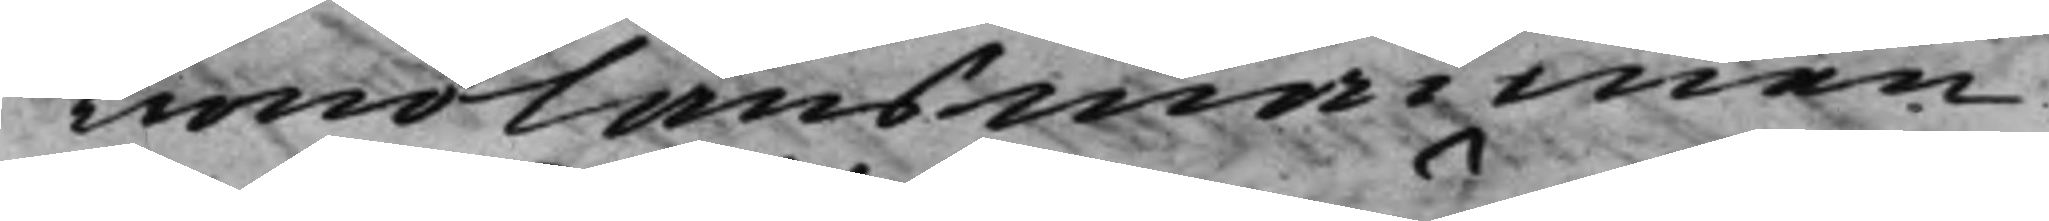Kronolänsmannen
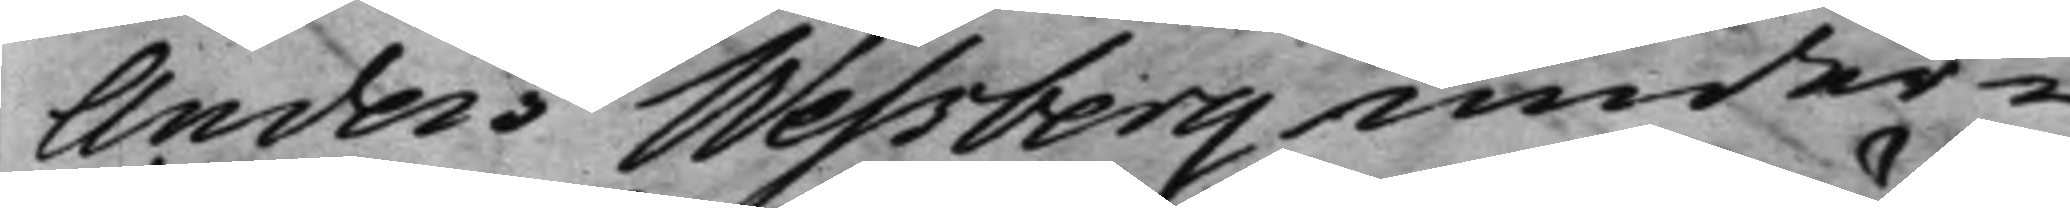Anders Wessberg under¬
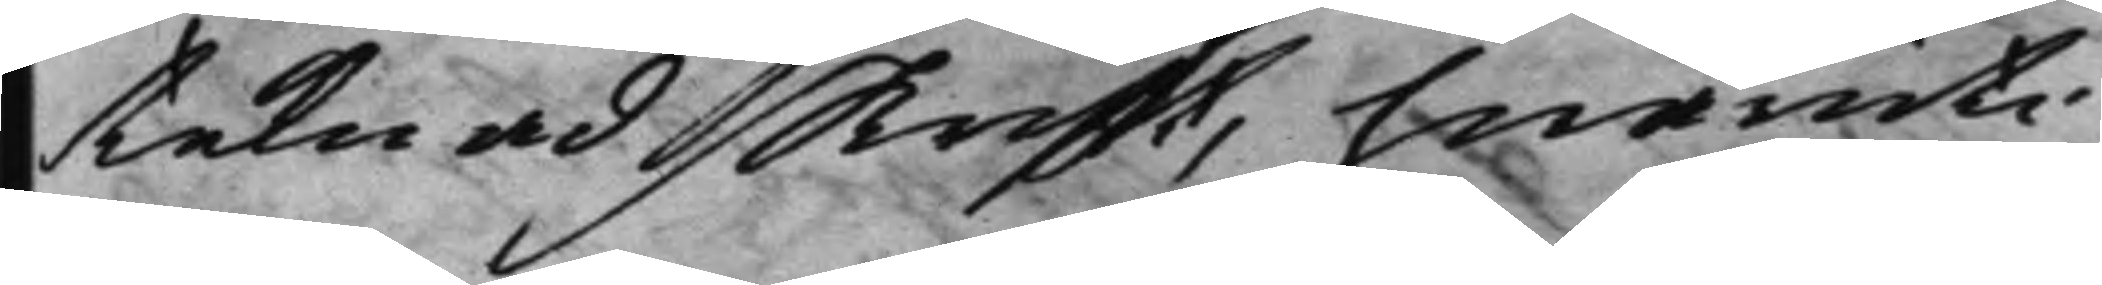teknad skrifft, hwaruti
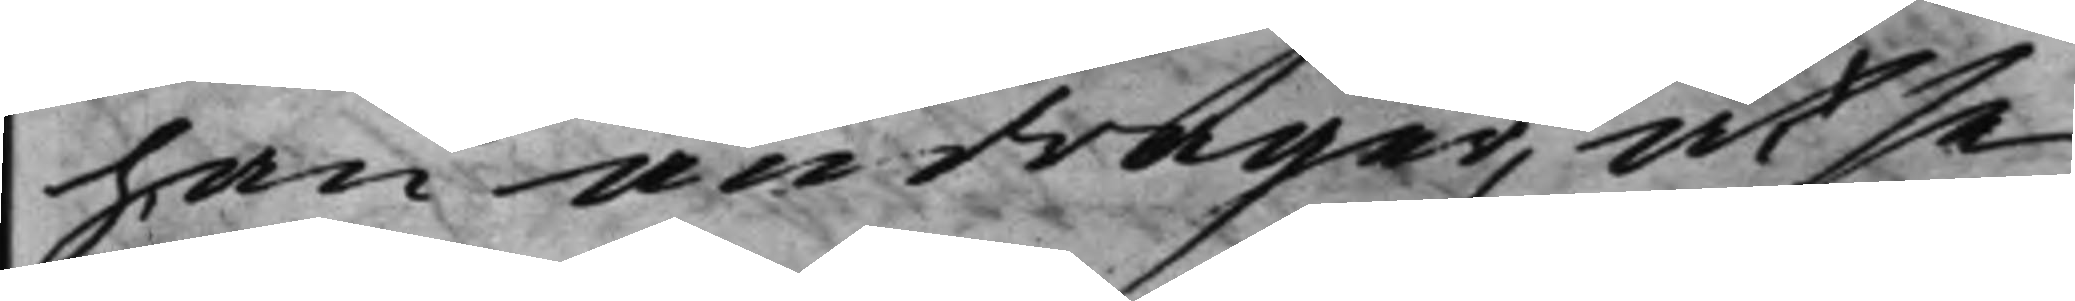han andrager, at se¬
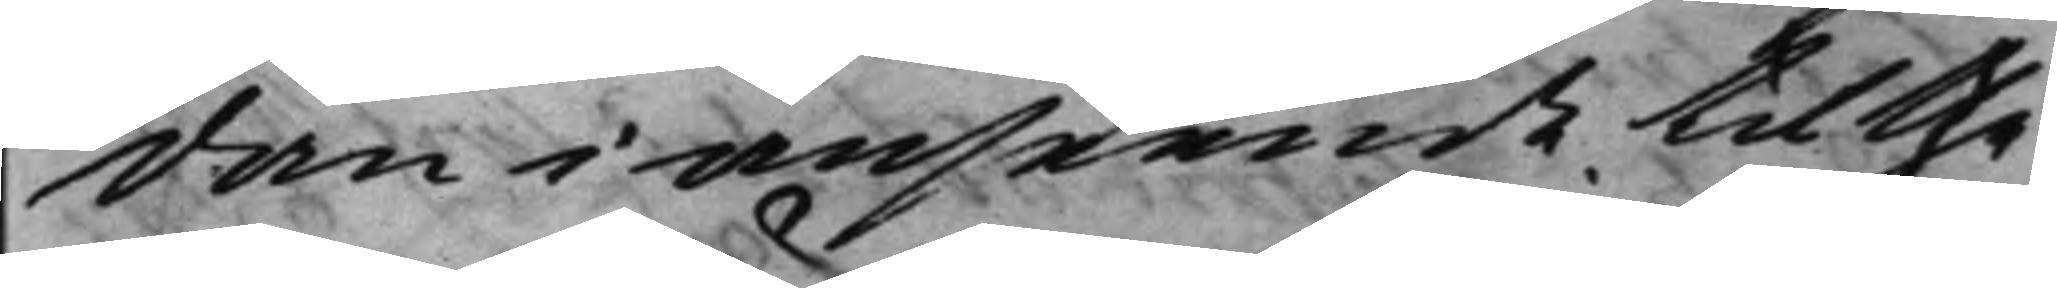dan i anseende til the
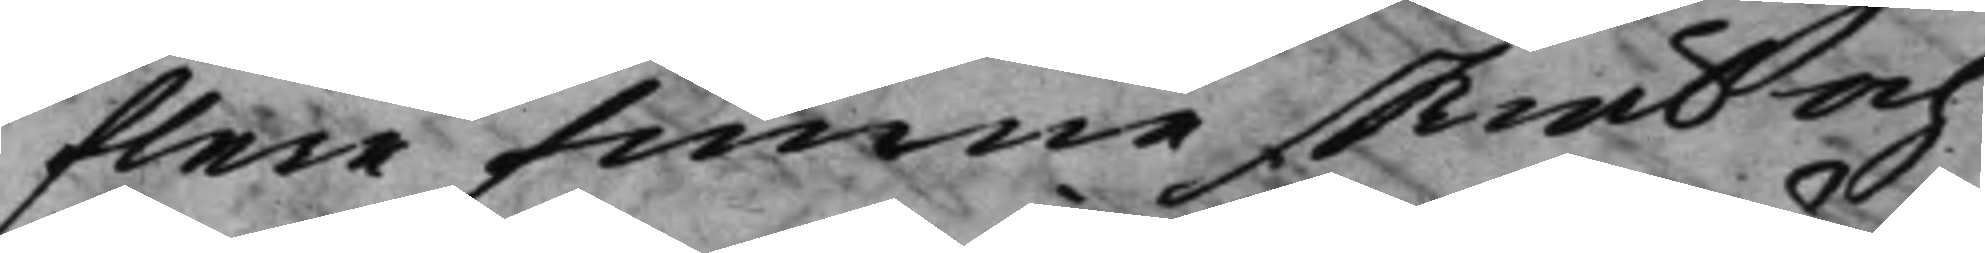flere funne skiäl och
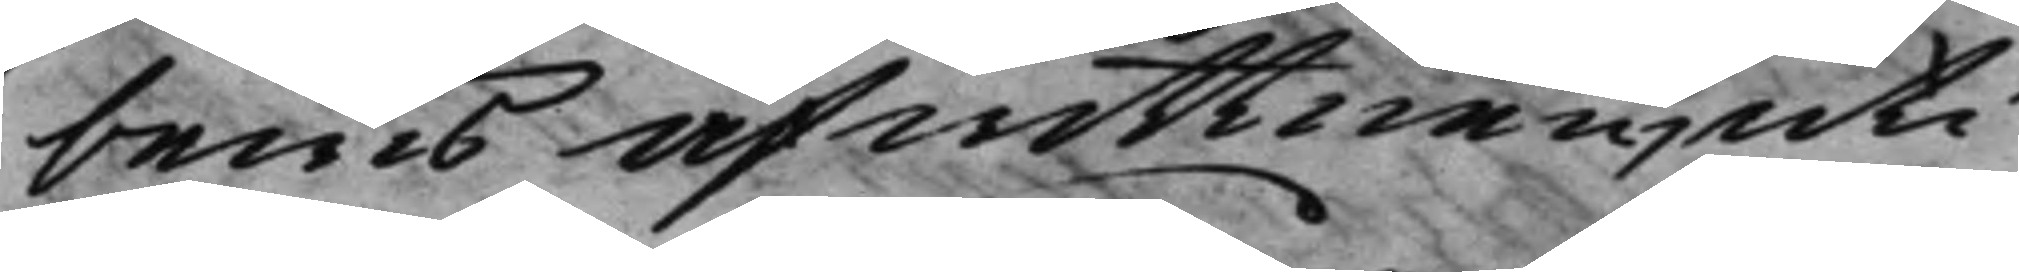bewis af wittnen, uti
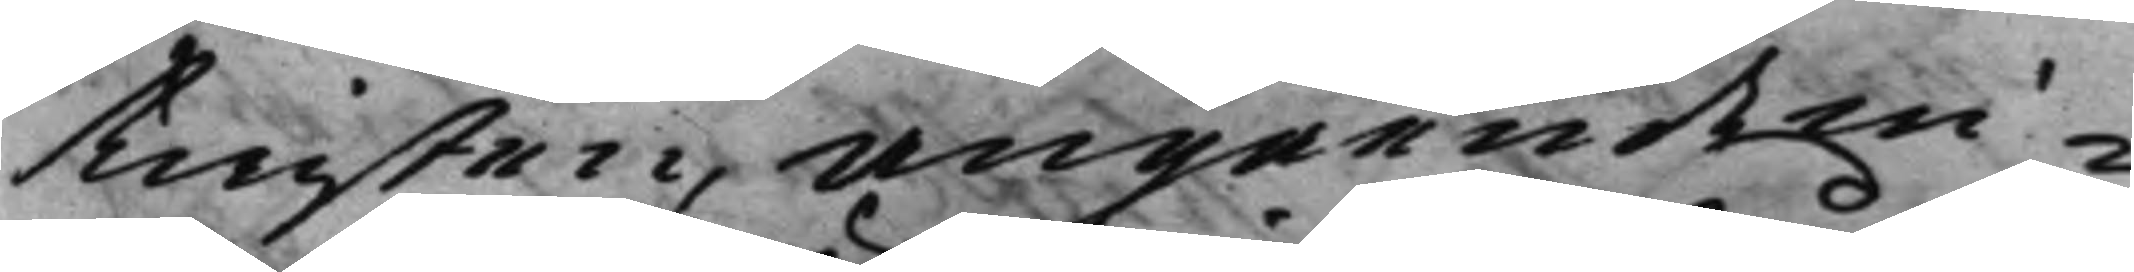twisten, angående wi¬
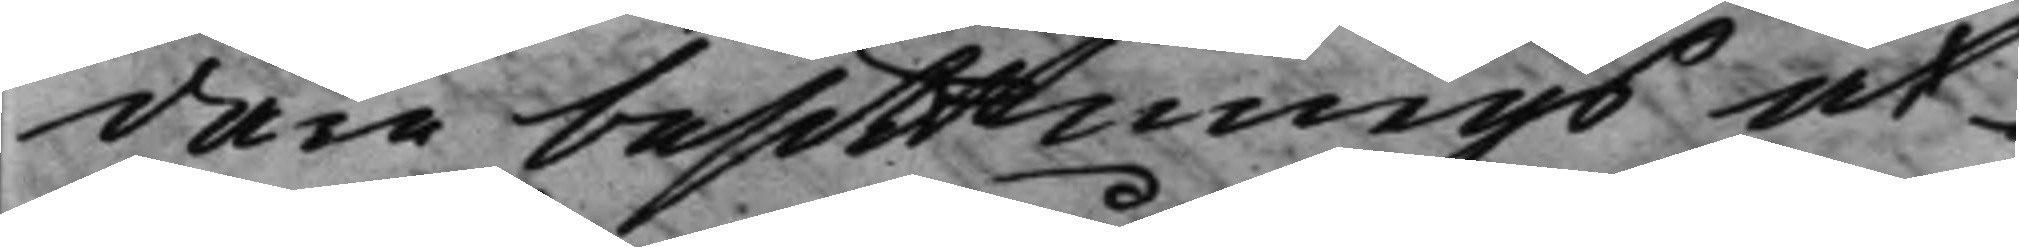dare besittnings ut¬
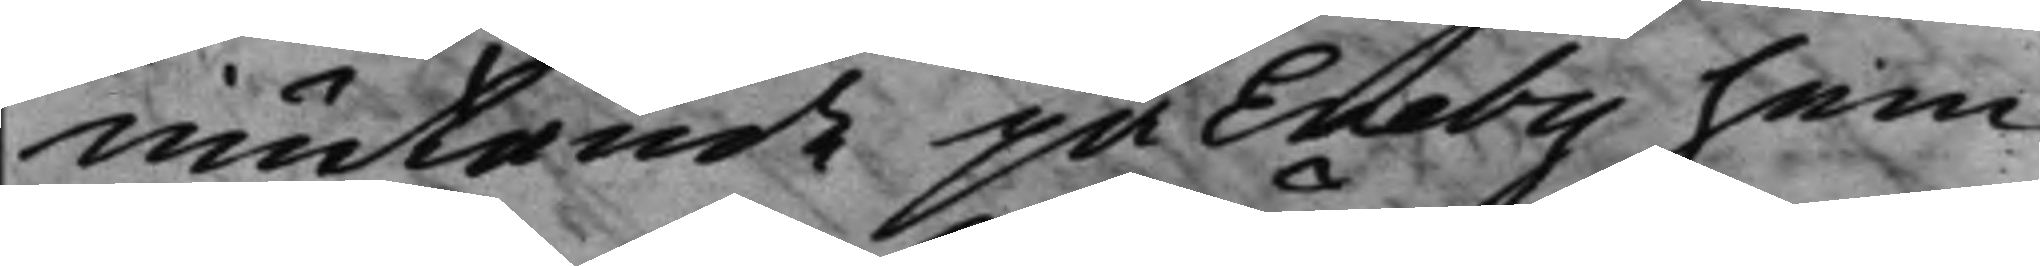mätande på Eneby hem¬
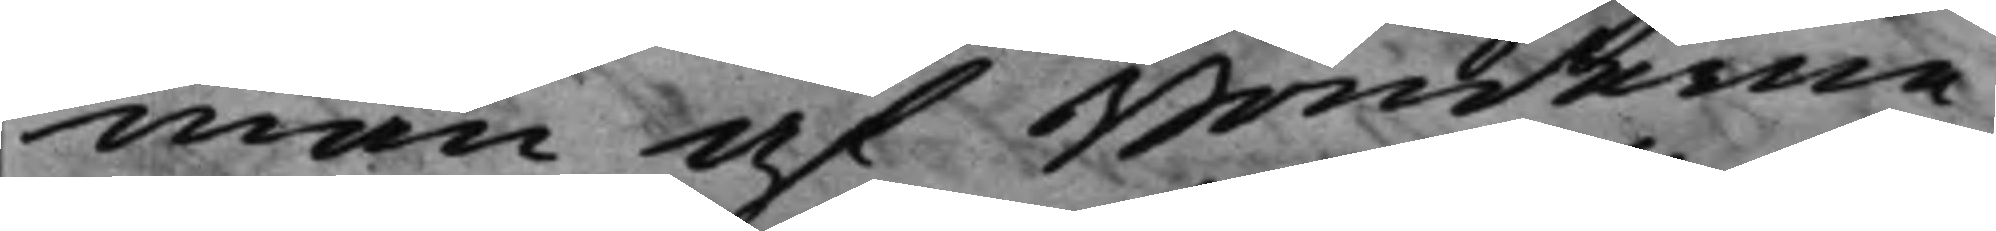man af Bönderne
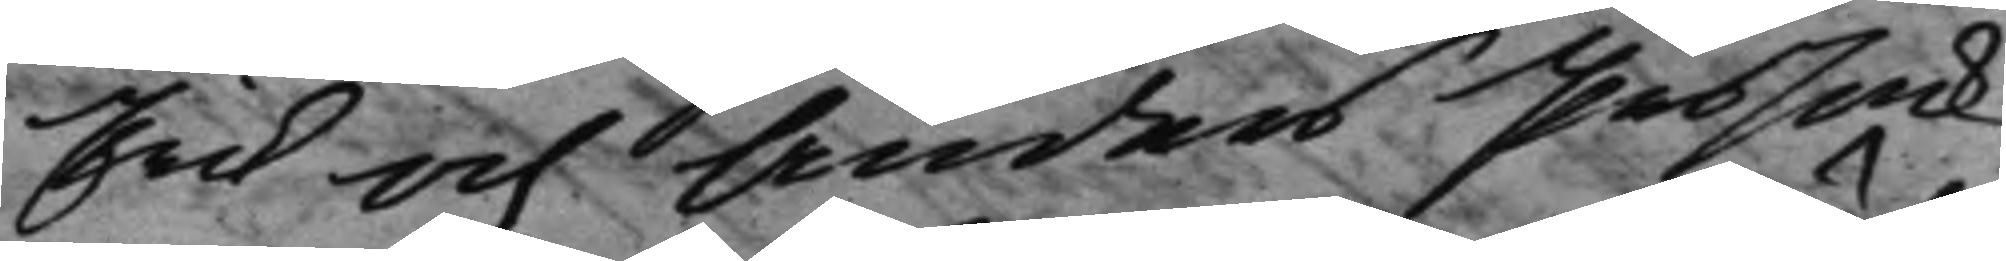Erik och Anders Persö¬
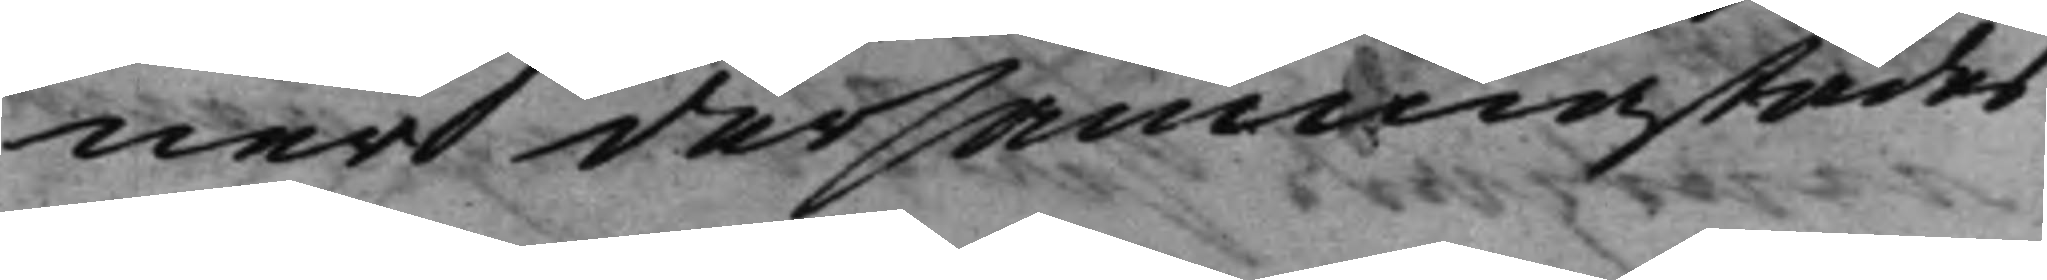ner dersammastädes
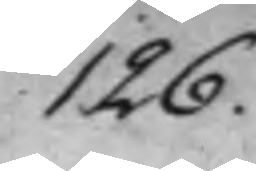126.
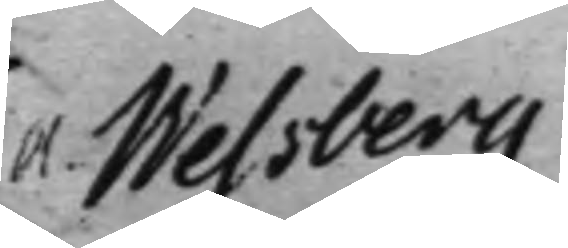A. Wessberg
